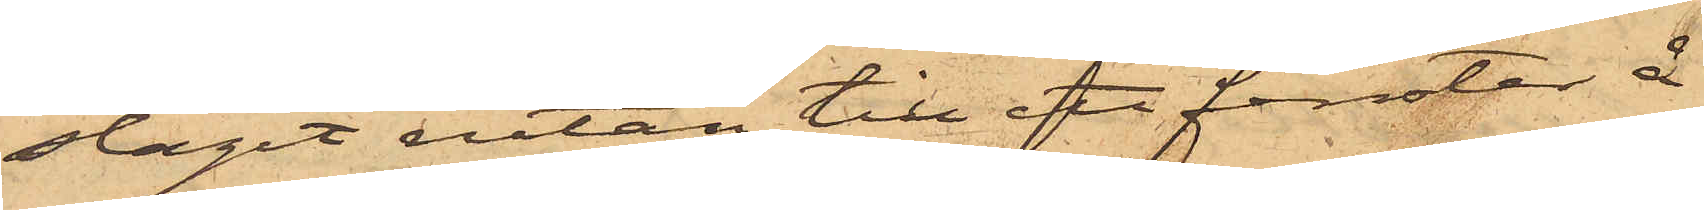slagit rutan till ett fönster å
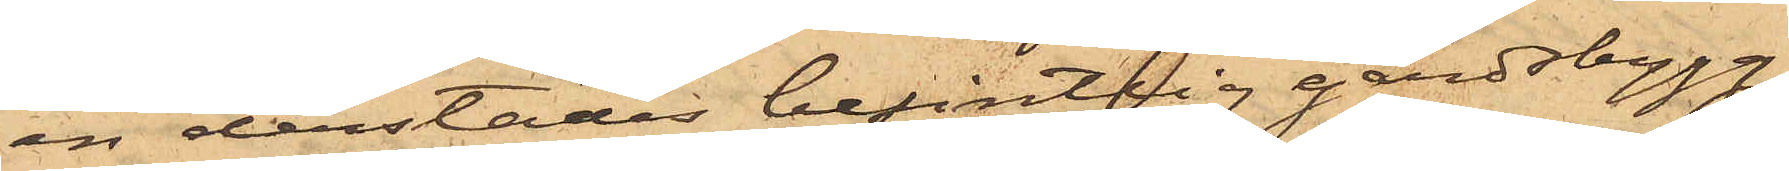en derstädes befintlig gårdsbygg¬
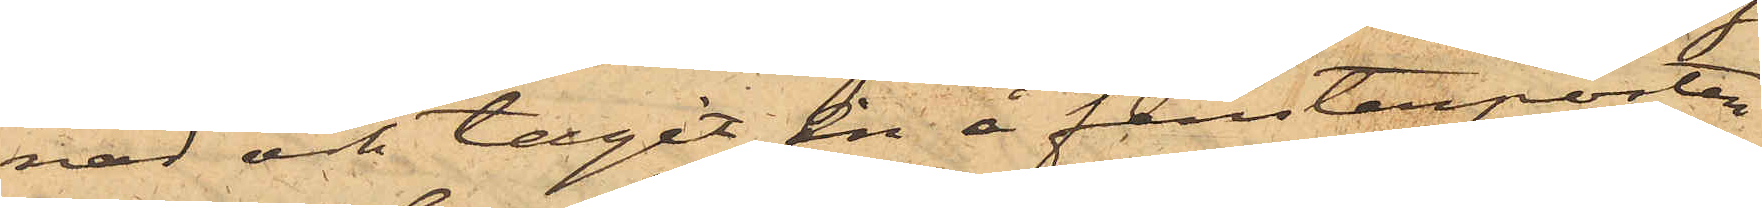nad och tagit en å fensterposten
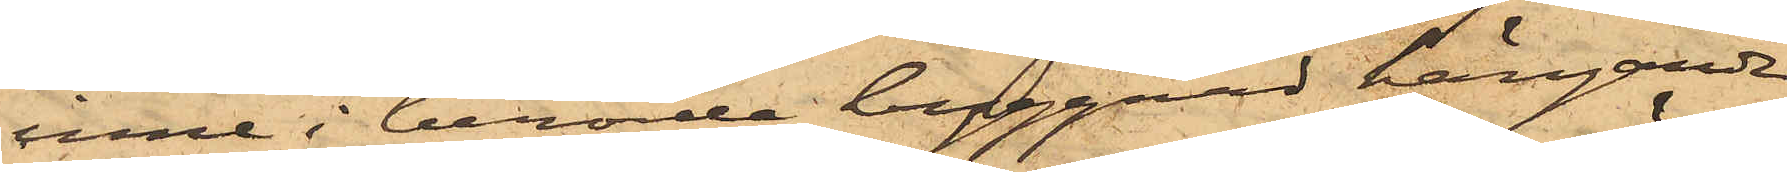inne i berörde byggnad hängande
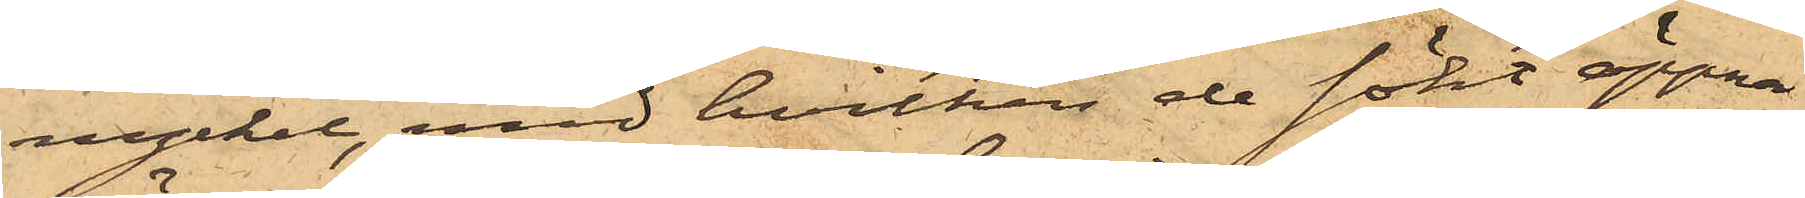nyckel, med hvilken de sökt öppna
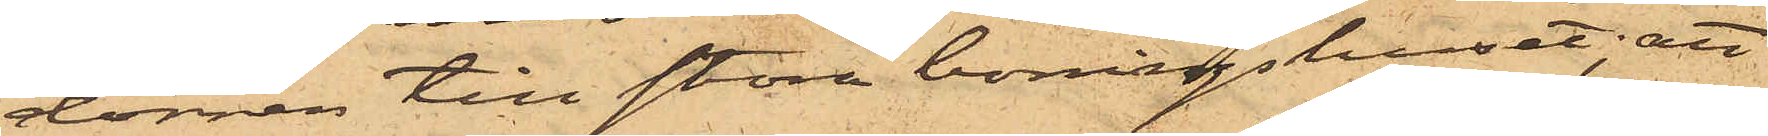dörren till stora boningshuset; att
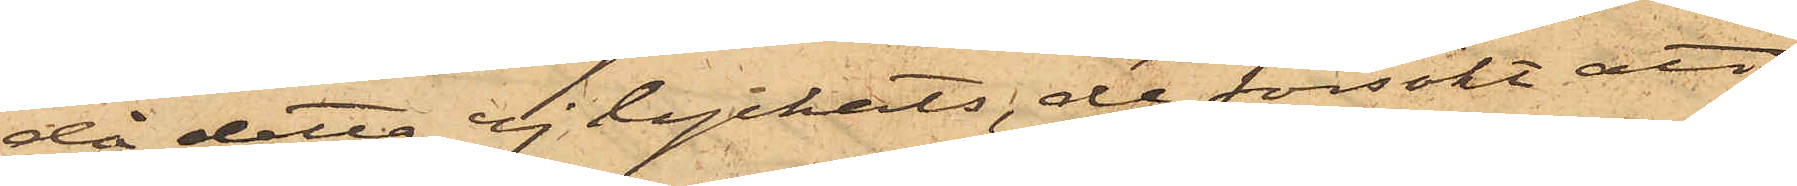då detta ej lyckats, de försökt att
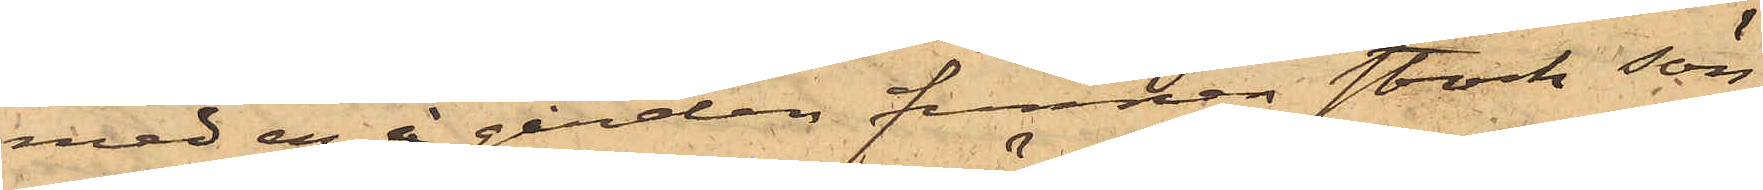med en å gården funnen stock sön¬
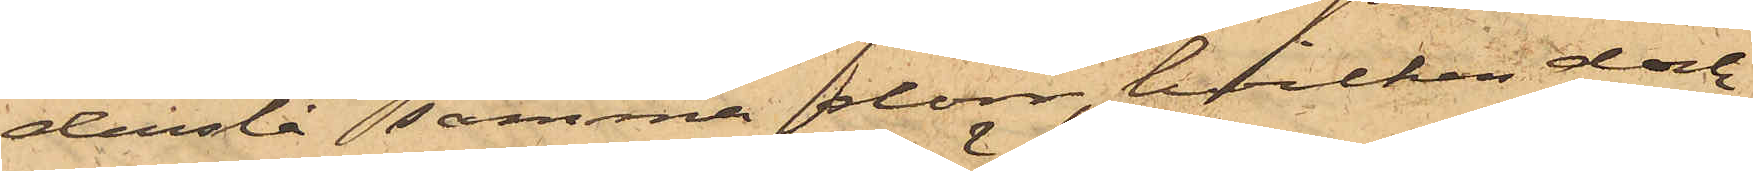derslå samma dörr, hvilken dock
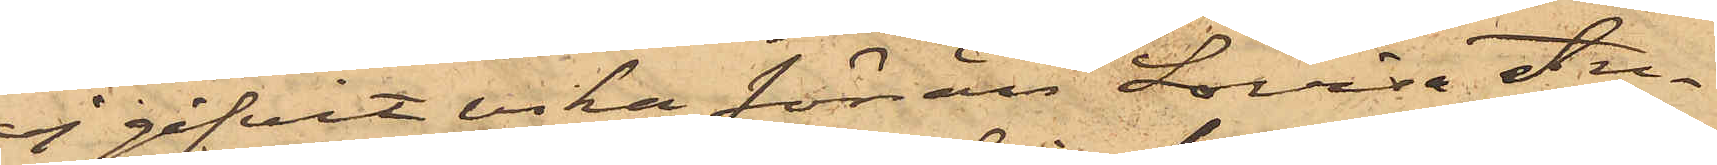ej gifvit vika förrän Lovisa An¬
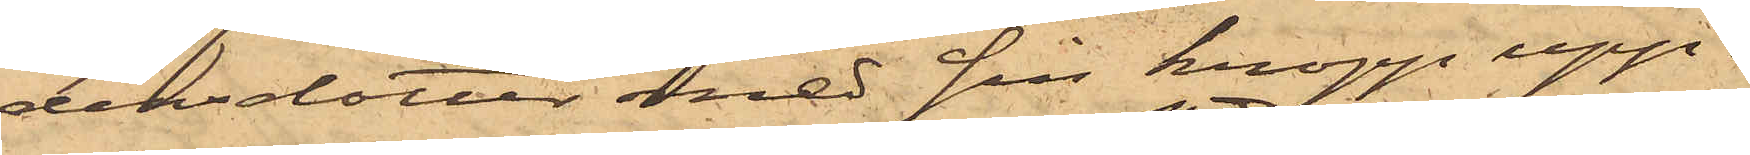dersdotter med sin kropp upp¬
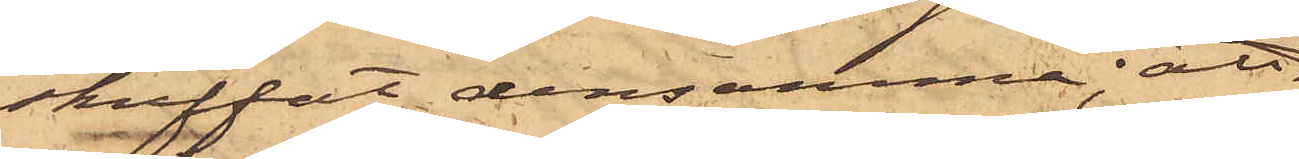skuffat densamma; att
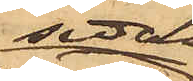sedan
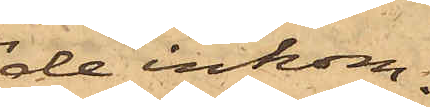de inkom¬
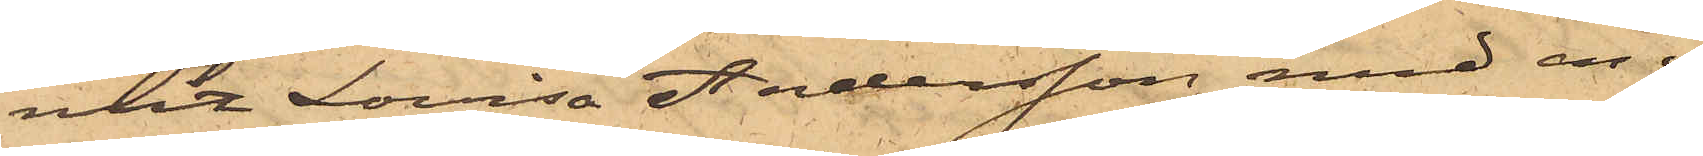mit Lovisa Andersson med en i
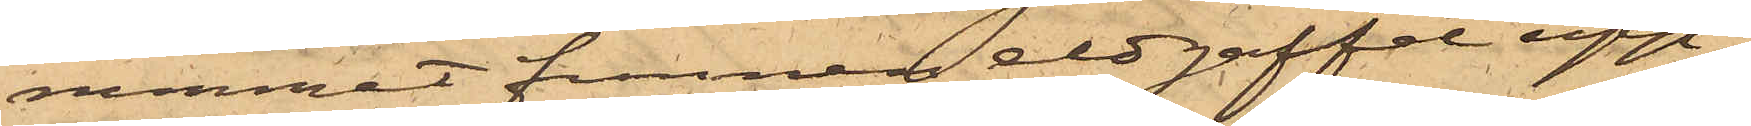rummet funnen eldgaffel upp¬
